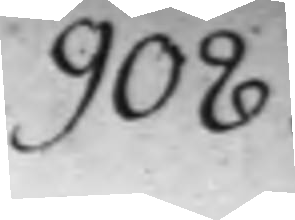908.
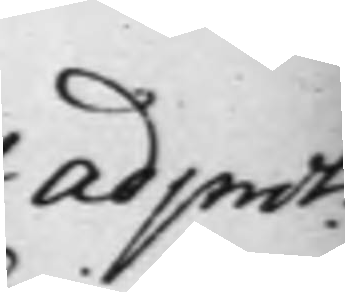ad prot:
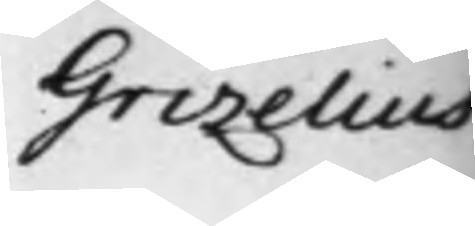Grizelius
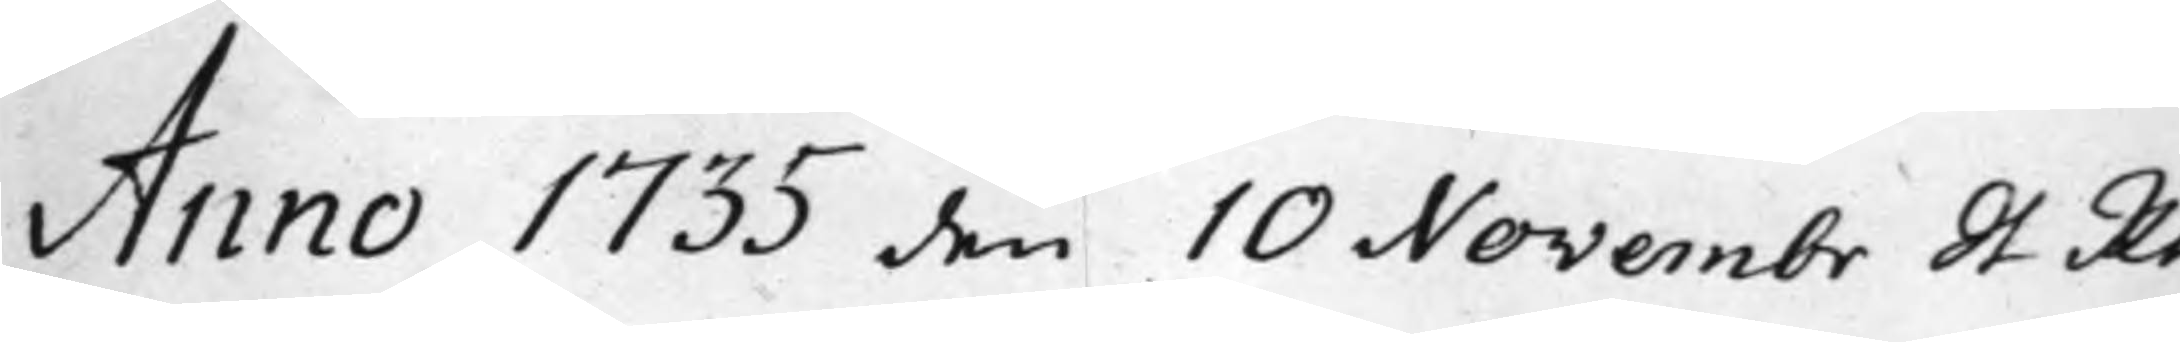Anno 1733 den 10 Novembr St Rt
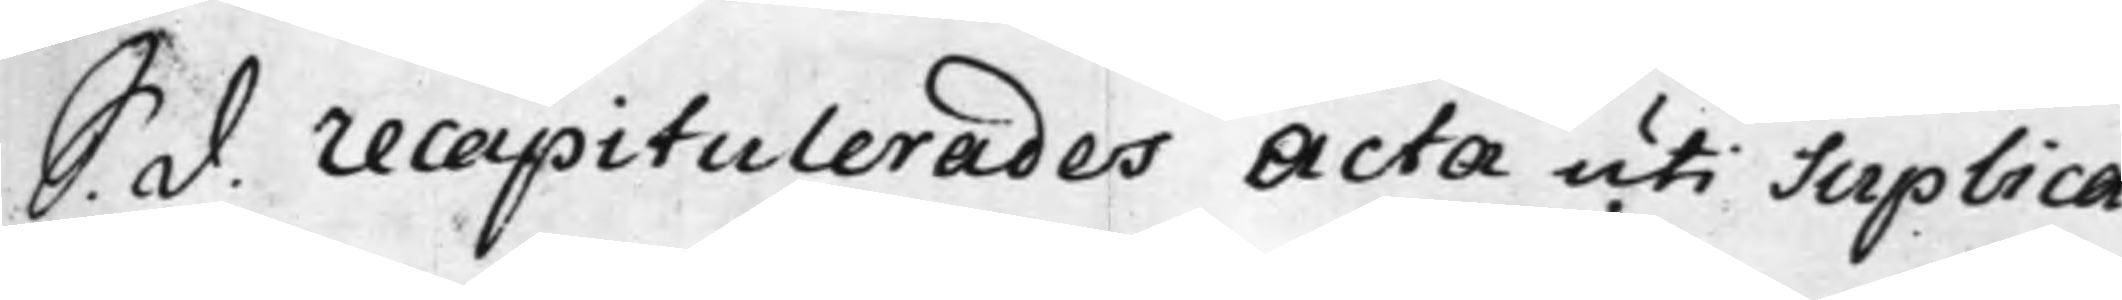S. d. recapitulerades Acta uti Suplica¬
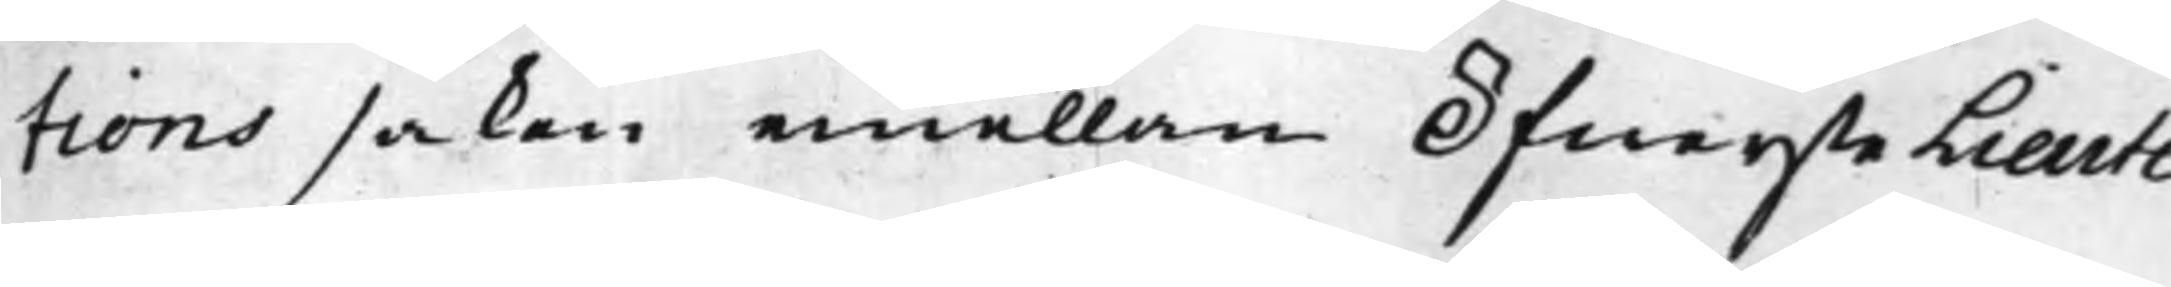tions saken emellan ÖfwersteLieute¬
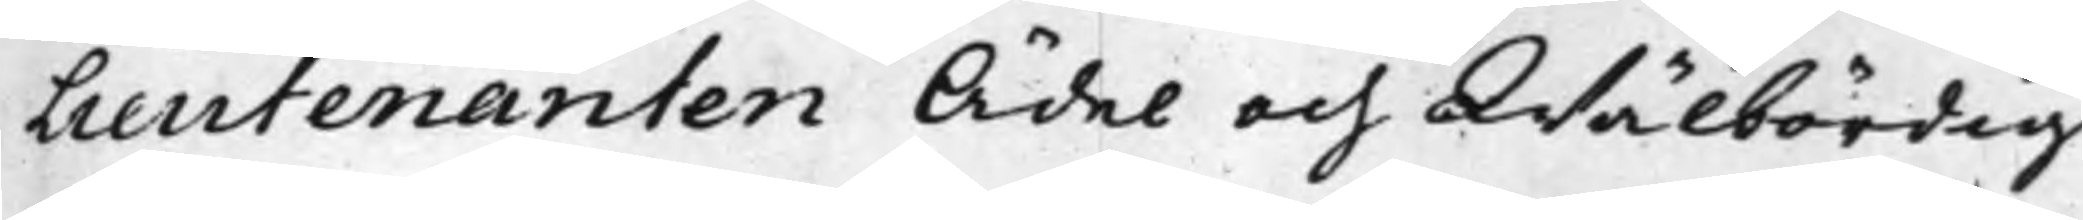Lieutenanten Ädel och Wälbördig
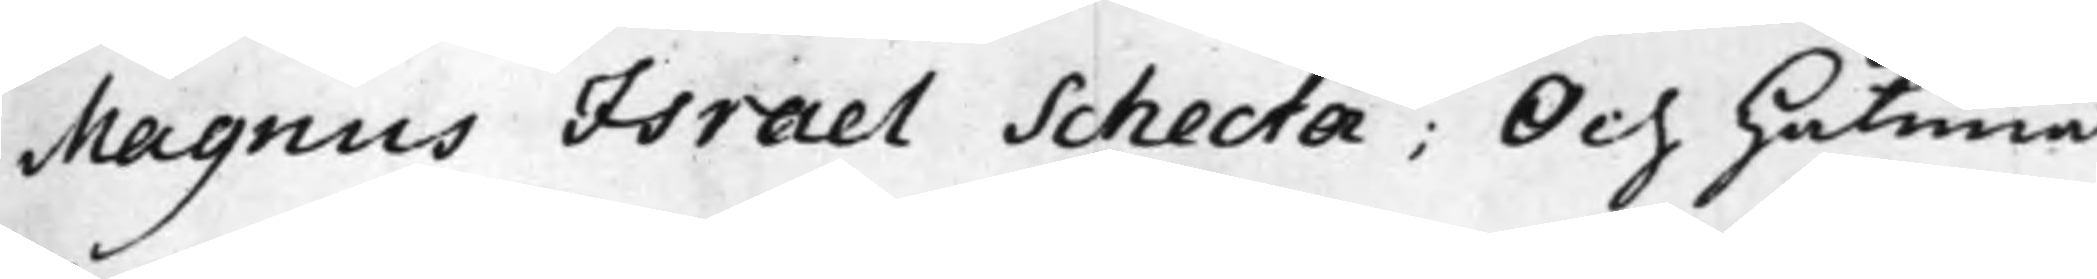Magnus Israel Schecta; Och Håtuna¬
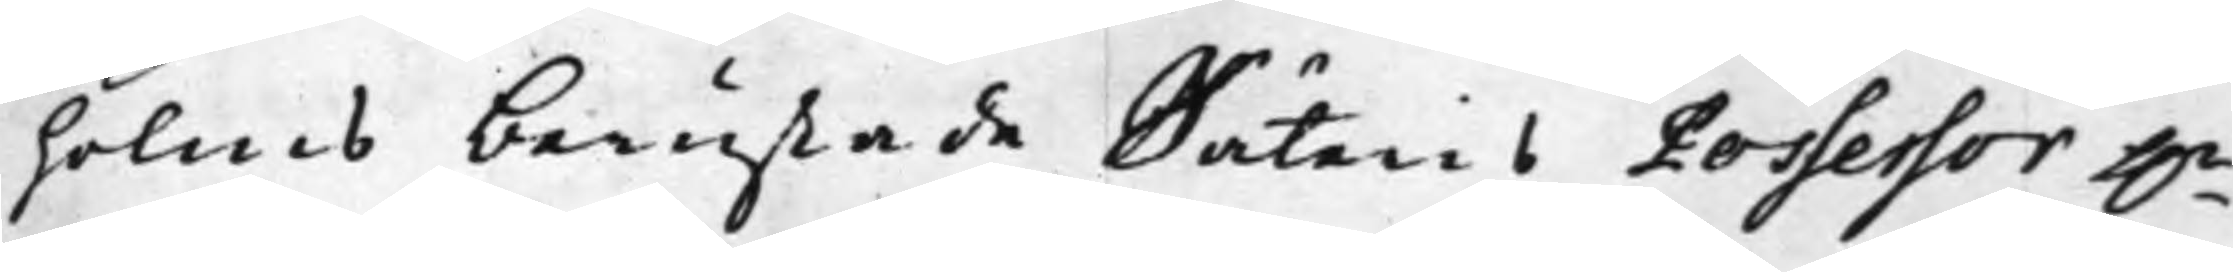holms berustade Säteris Possessor h.r
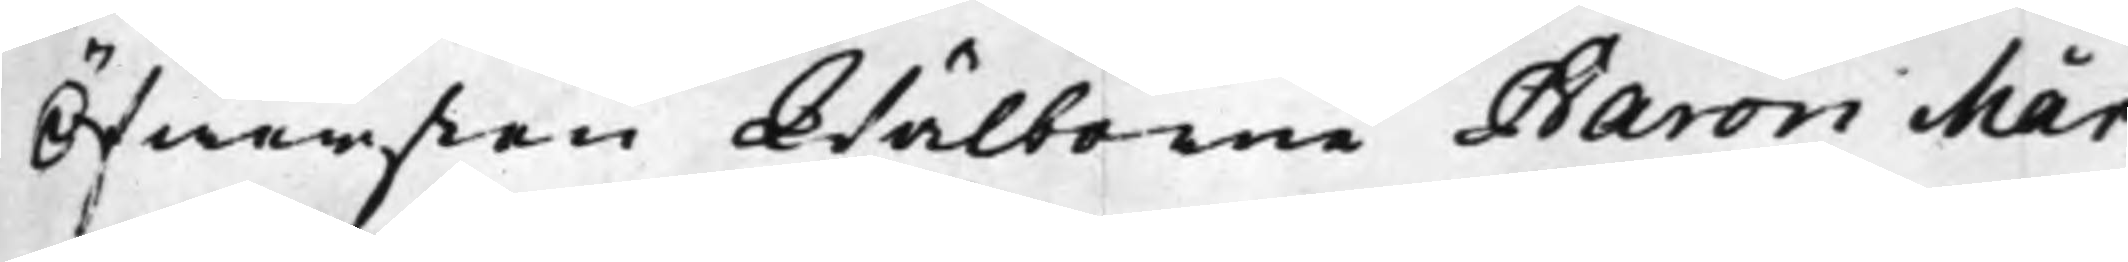Öfwersten Wälborne Baron Mår¬
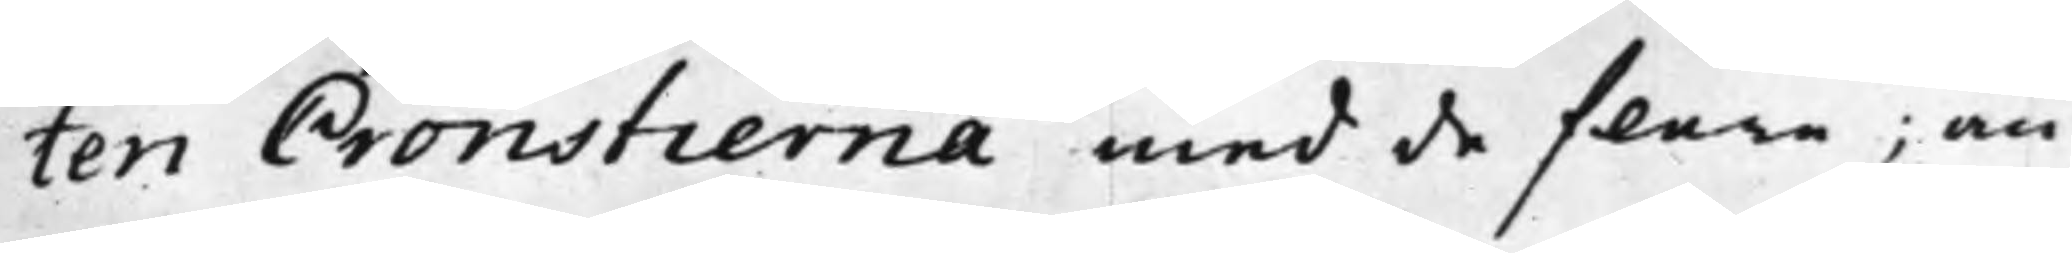ten Cronstierna med de flera; an¬
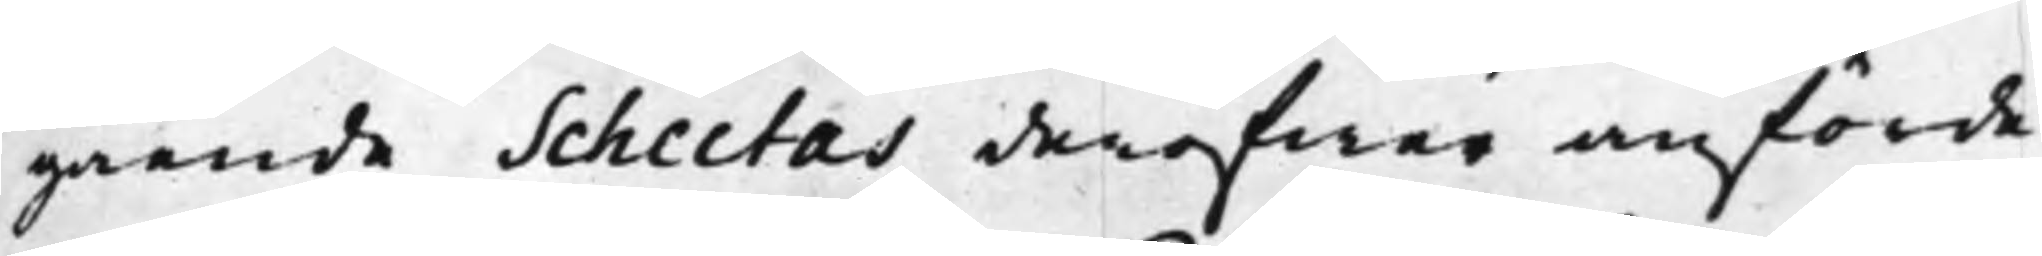gående Schectas deröfwer anförde
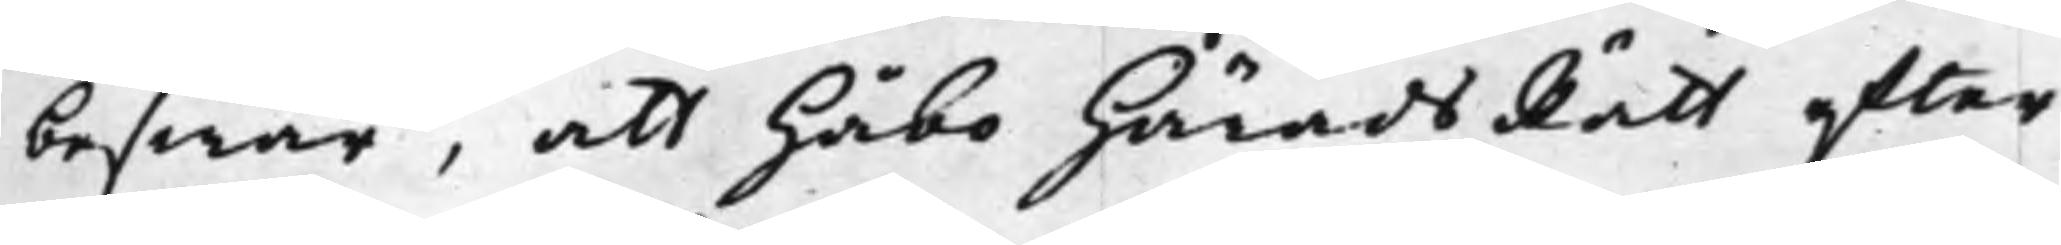beswär, att Håbo HäradsRätt efter
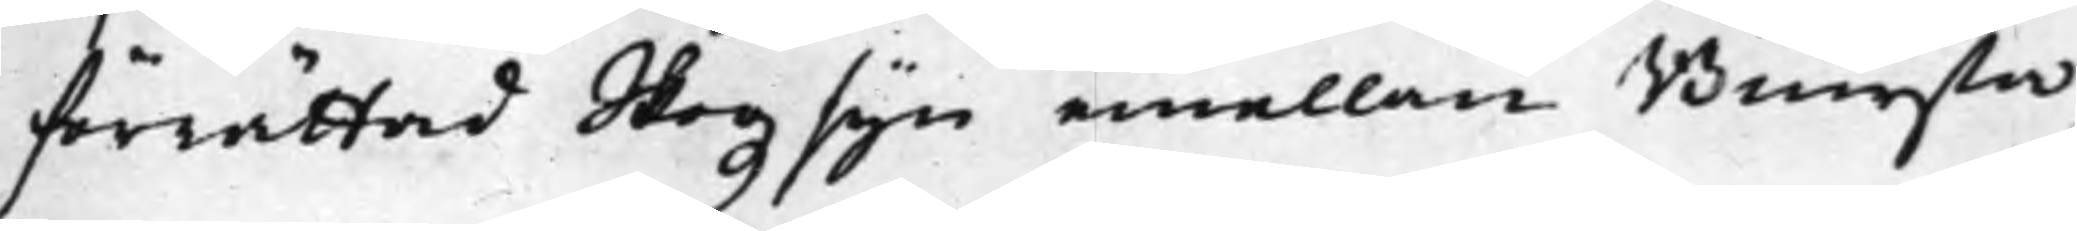förrättad Skogzsyn emellan Biursta
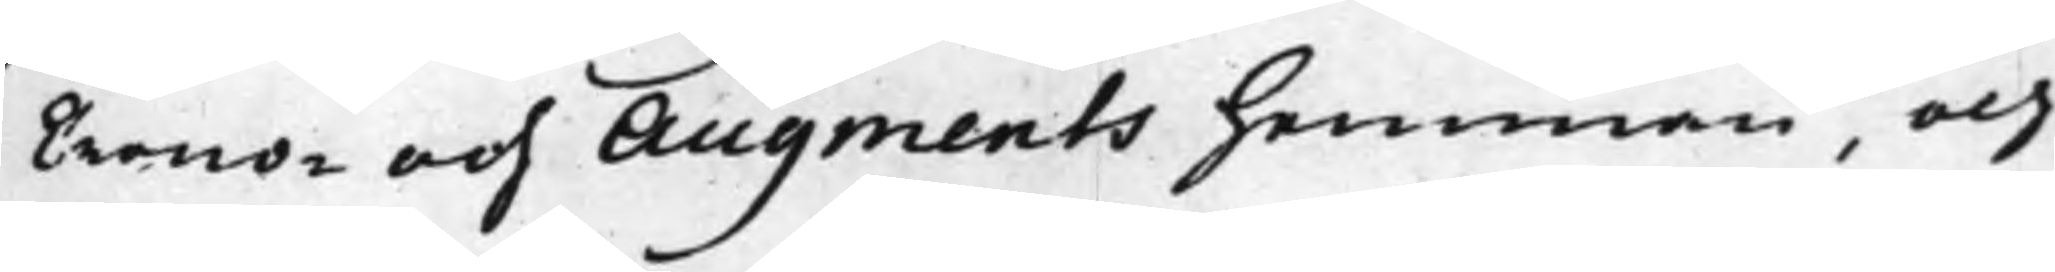Crono och Augments hemman, och
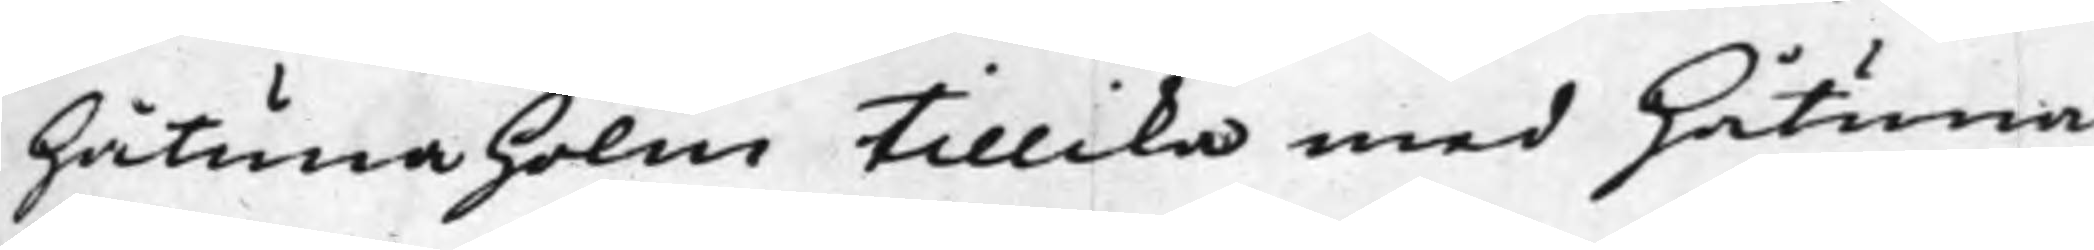Håtunaholm tillika med Håtuna
